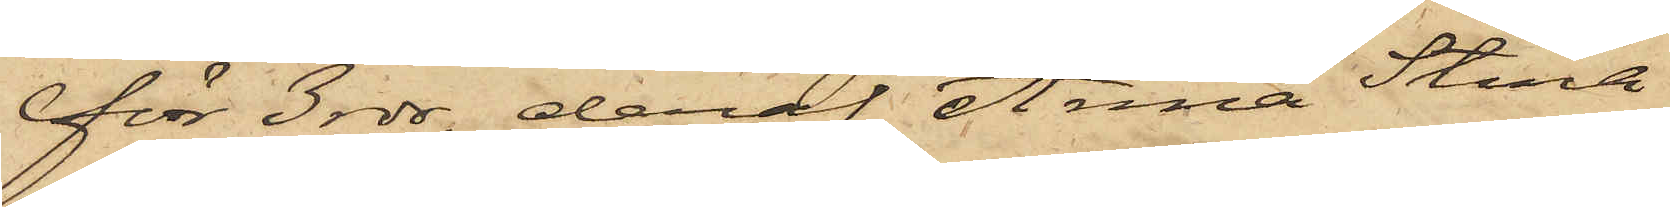för 3 rdr, deraf Anna Stina
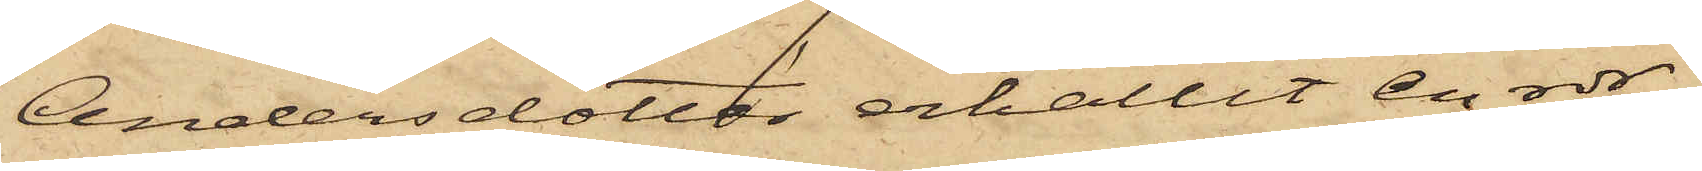Andersdotter erhållit en rdr,
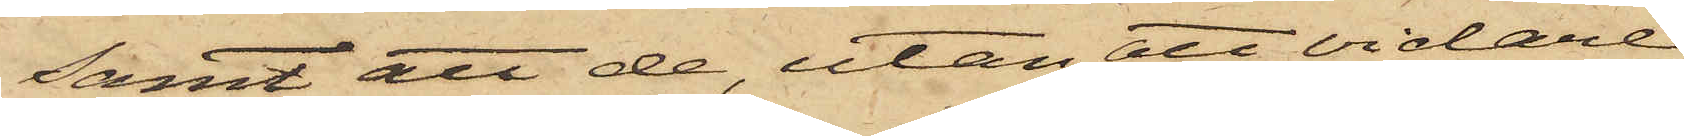samt att de, utan att vidare
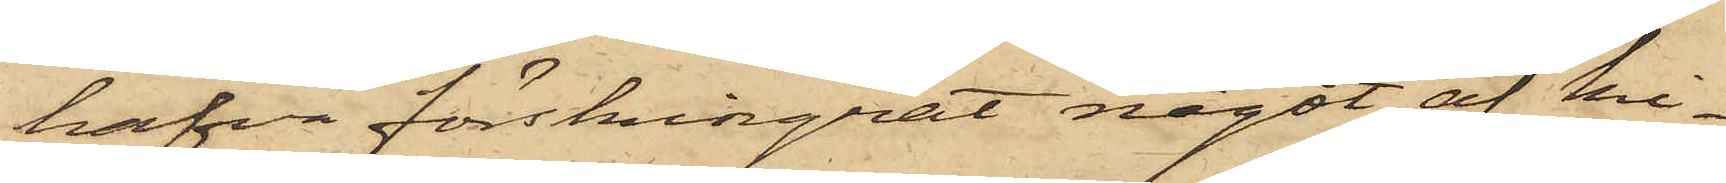hafva förskingrat något af ki¬
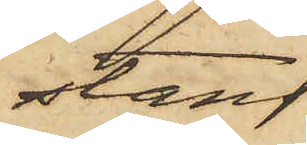stans
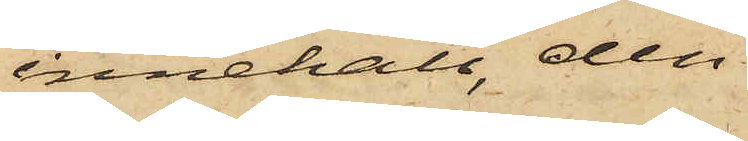innehåll, den
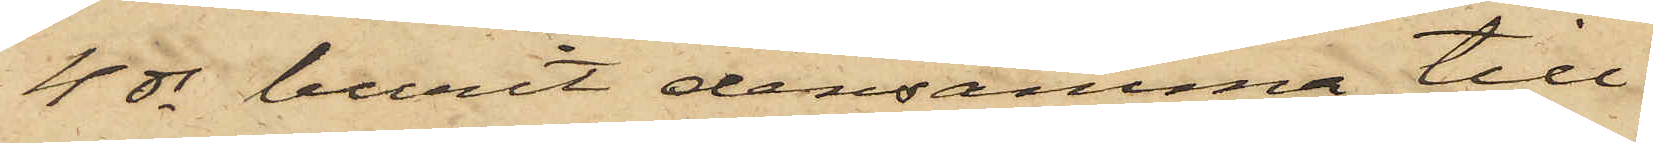4 ds burit densamma till
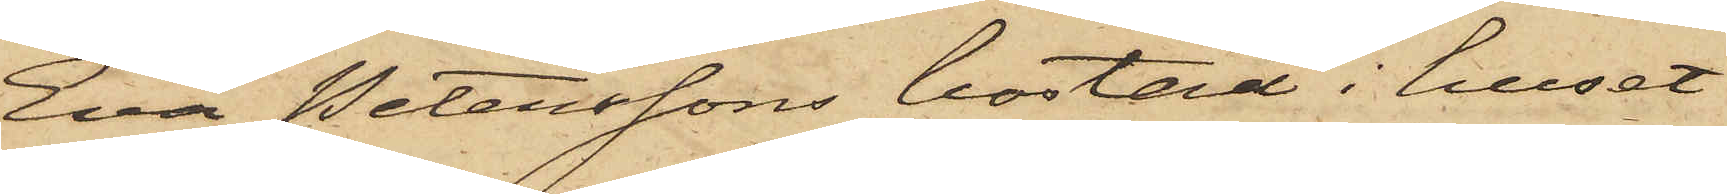Eva Peterssons bostad i huset
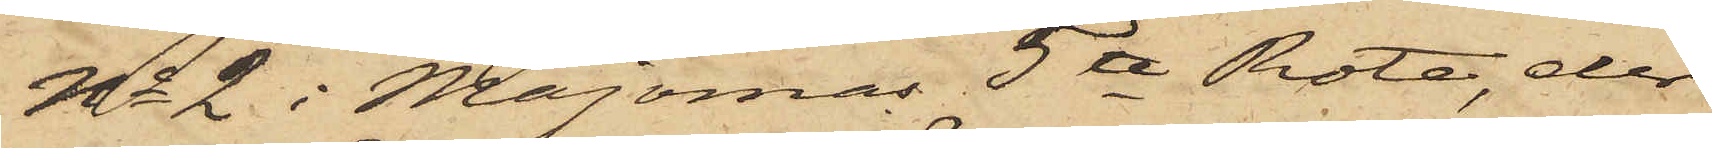No 2 i Majornas 5te Rote, der
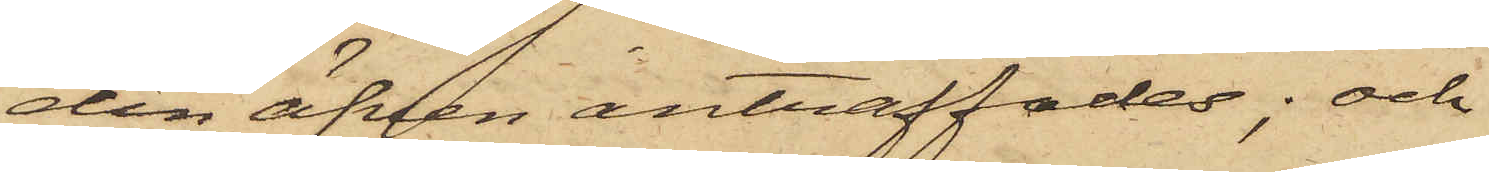den äfven anträffades; och
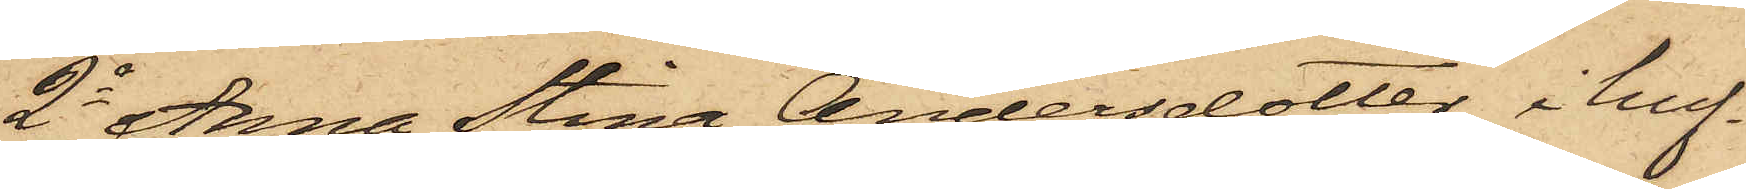2o Anna Stina Andersdotter i huf¬
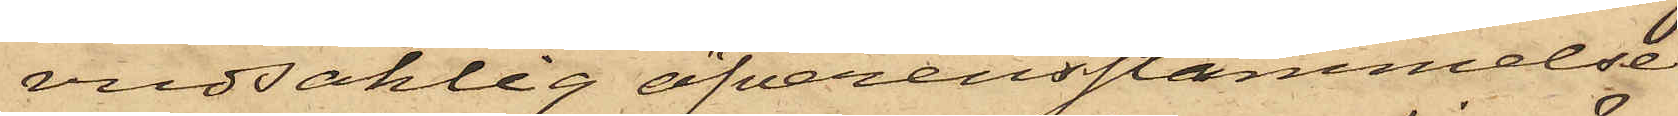vudsaklig öfverensstämmelse
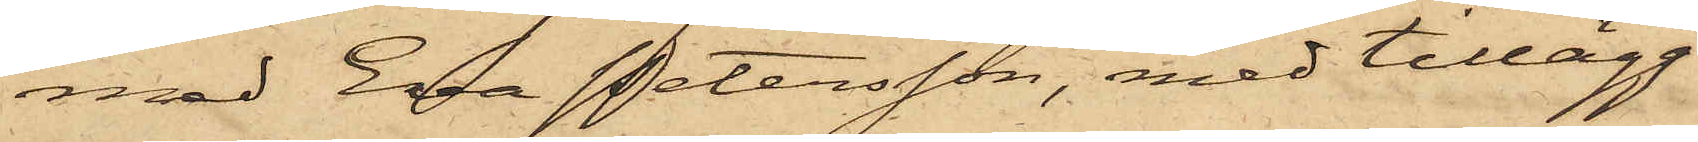med Eva Petersson, med tillägg
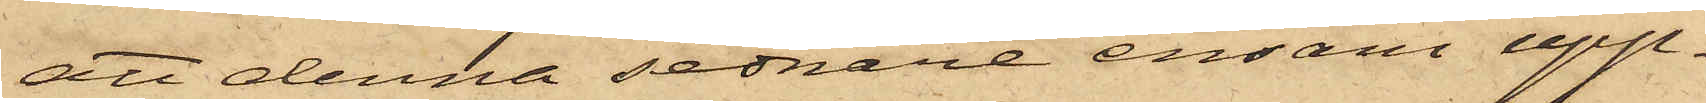att denna sednare ensam upp¬
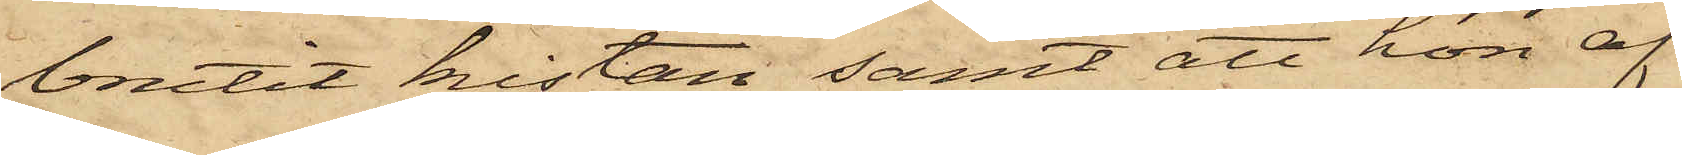brutit kistan samt att hon af
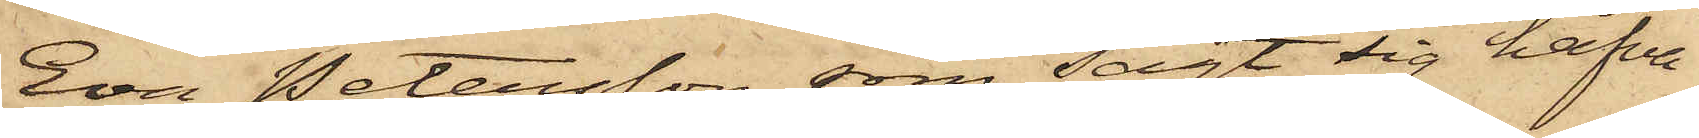Eva Petersson, som sagt sig hafva
